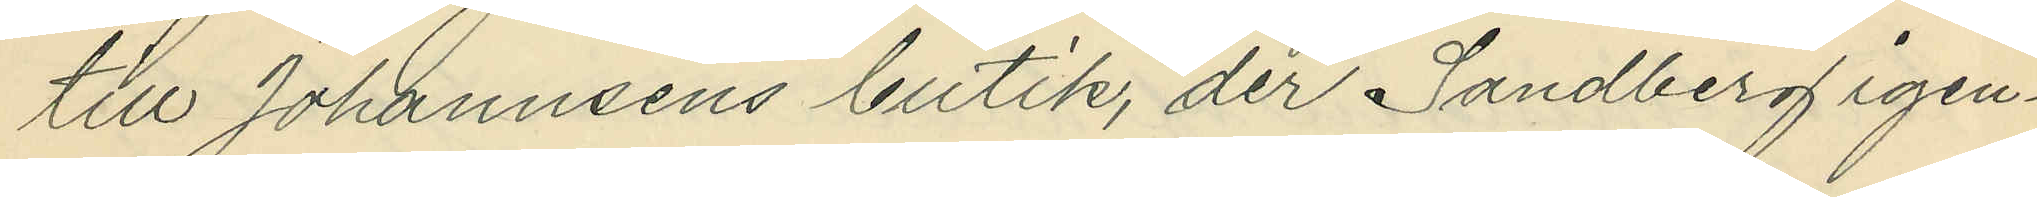till Johannsens butik, der Sandberg igen¬
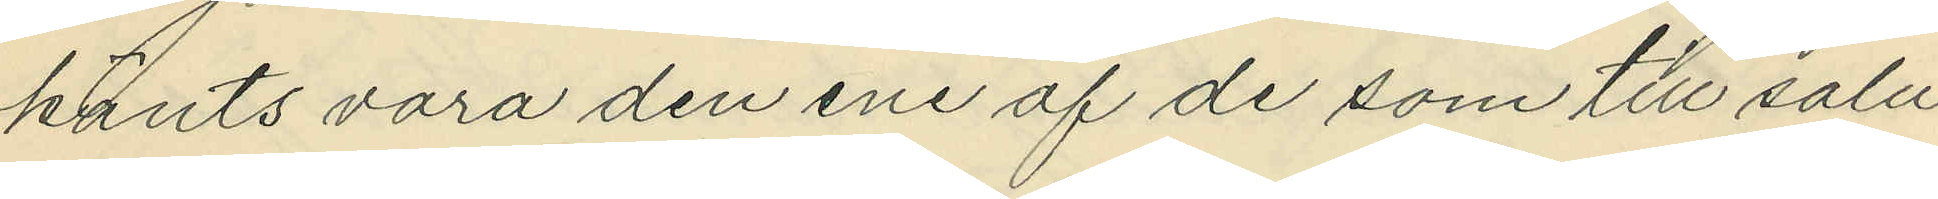känts vara den ene af de som till salu
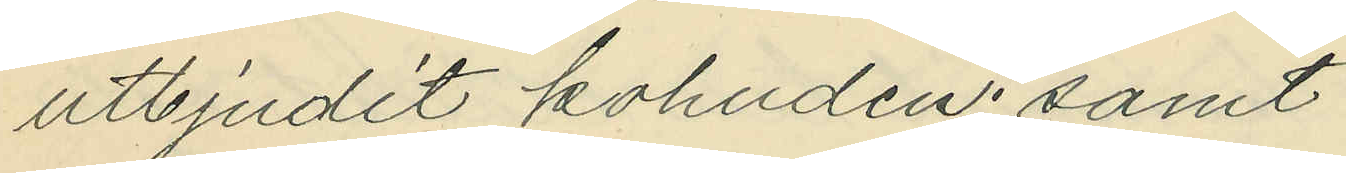utbjudit kohuden; samt
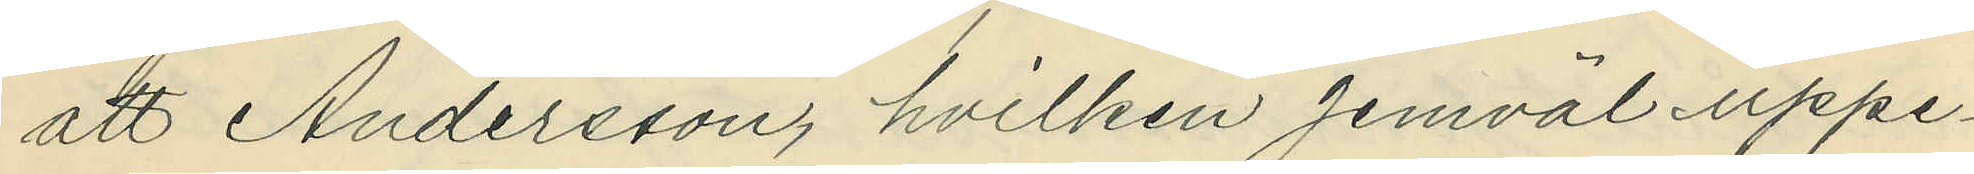att Andersson, hvilken jemväl uppe¬
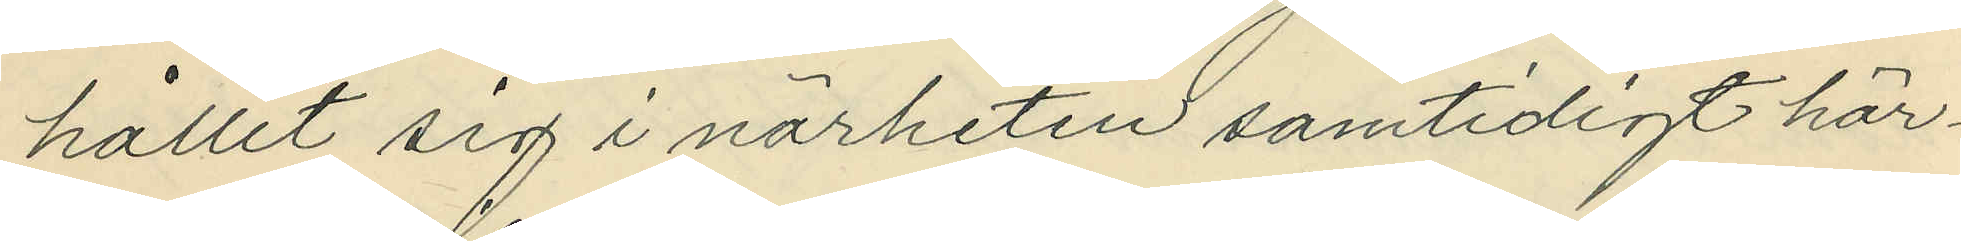hållit sig i närheten samtidigt här¬
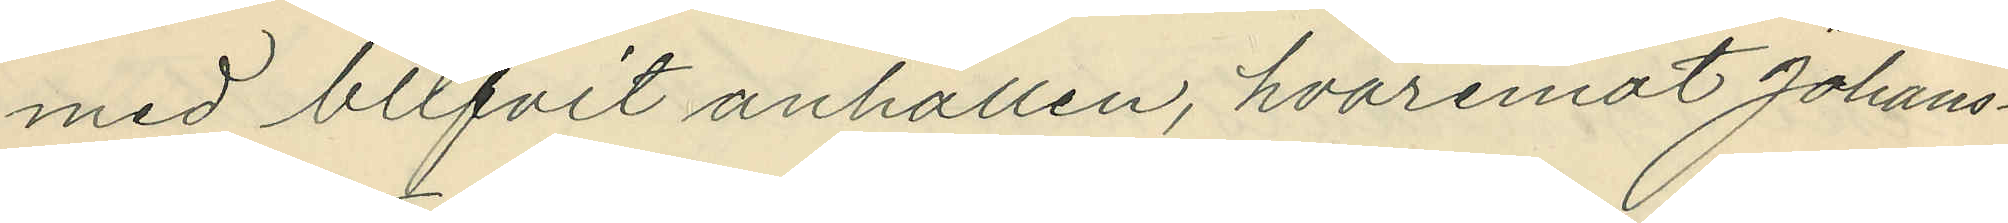med blifvit anhållen, hvaremot Johans¬
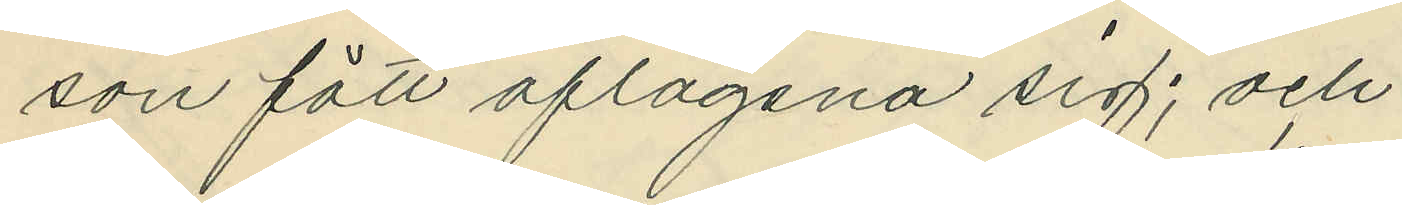son fått aflägsna sig; och
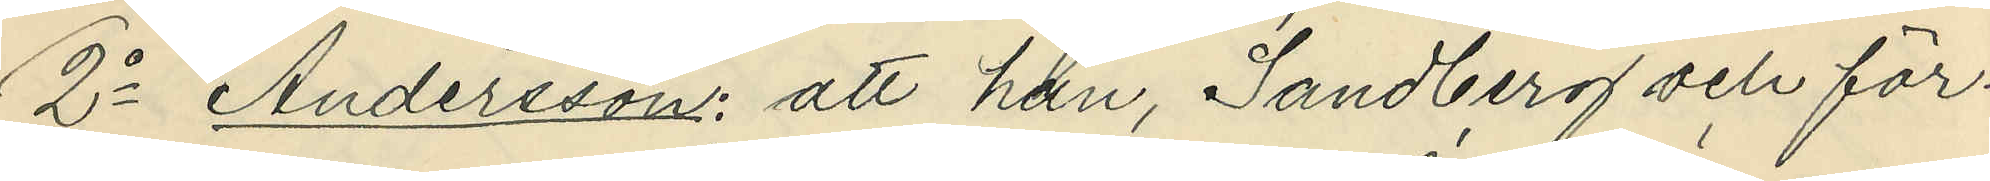2o Andersson: att han, Sandberg och för¬
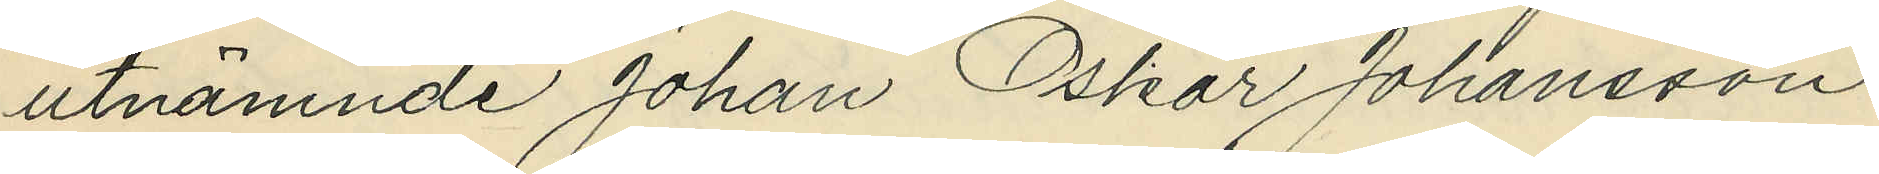utnämnde Johan Oskar Johansson
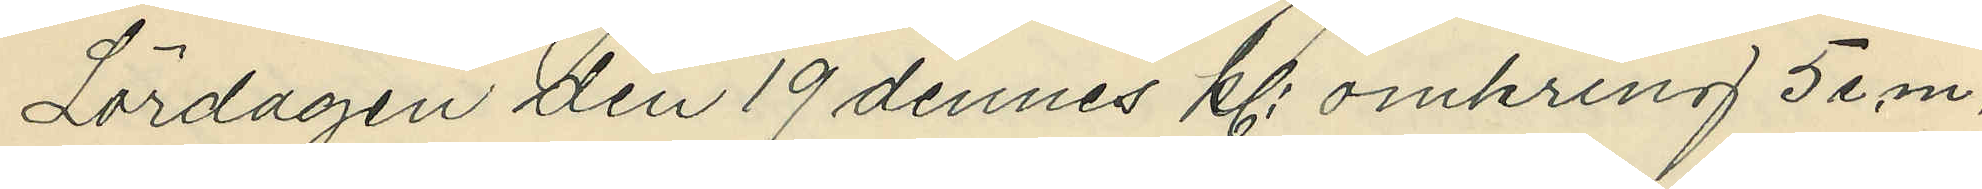Lördagen den 19 dennes kl. omkring 5 e.m.
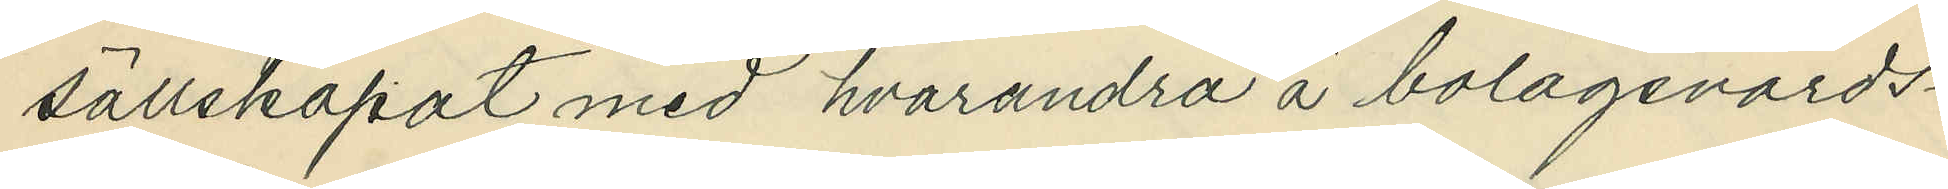sällskapat med hvarandra å bolagsvärds¬
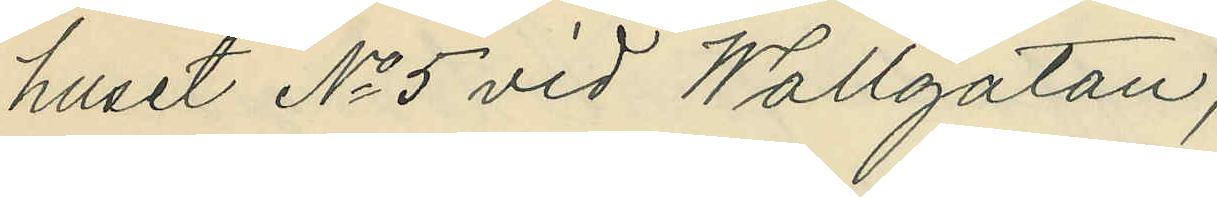huset No 5 vid Wallgatan;
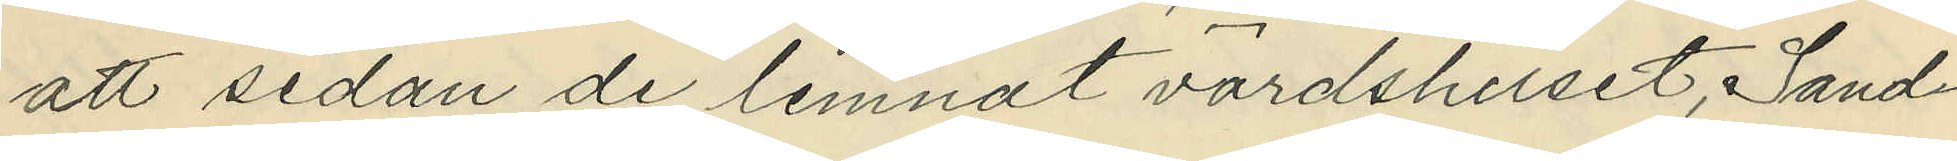att sedan de lemnat värdshuset, Sand¬
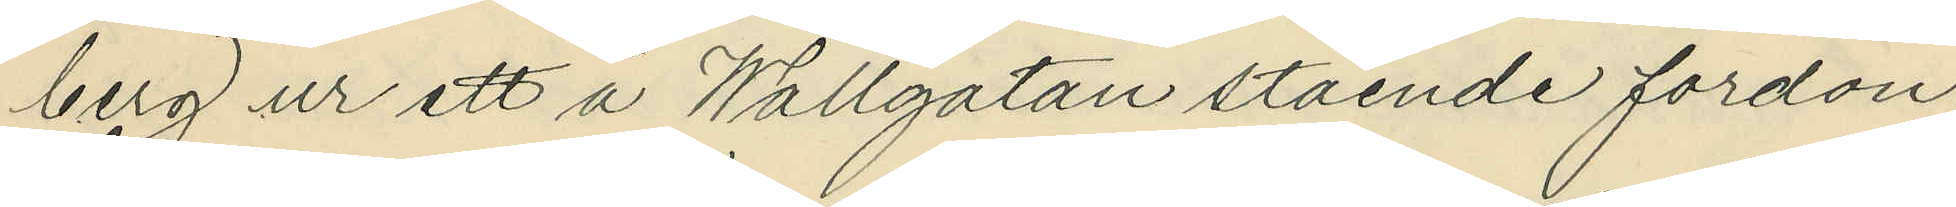berg ur ett å Wallgatan stående fordon
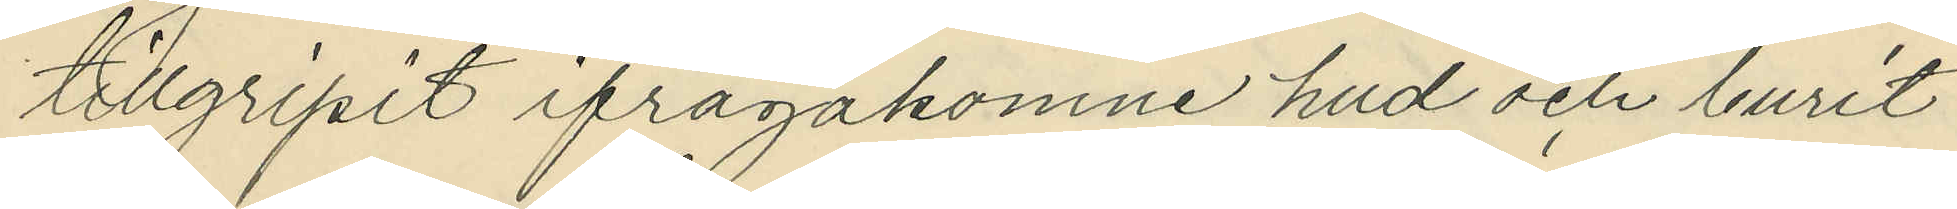tillgripit ifrågakomne hud och burit
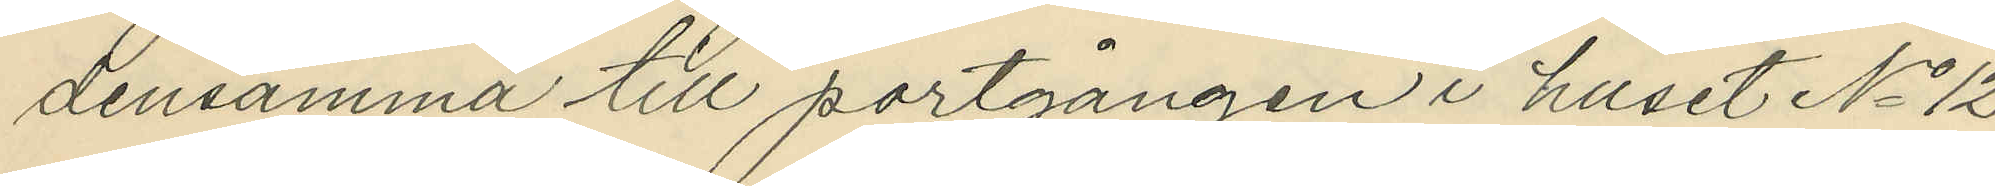densamma till portgången i huset No 12
